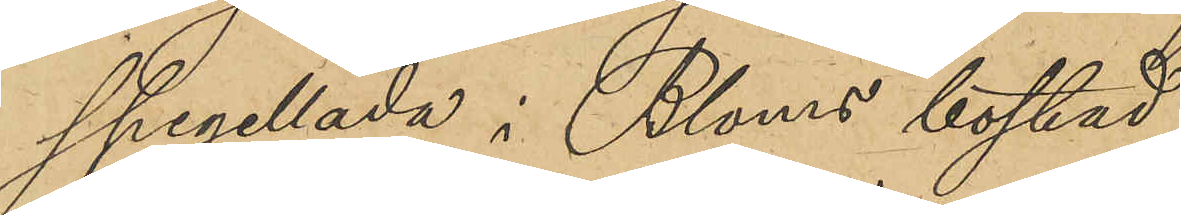spegellåda i Bloms bostad.
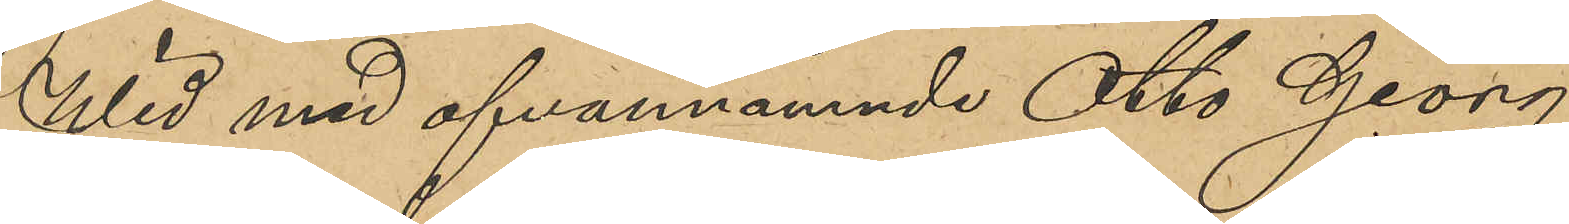Wid med ofvannämnde Otto Georg
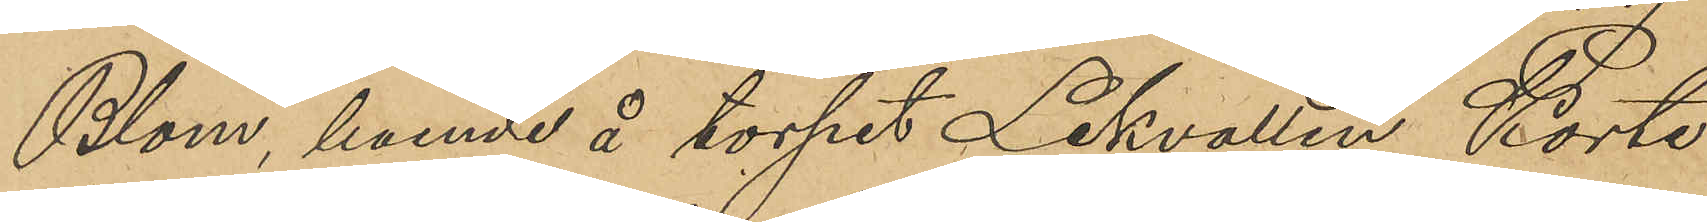Blom, boende å torpet Lekvallen Korte¬
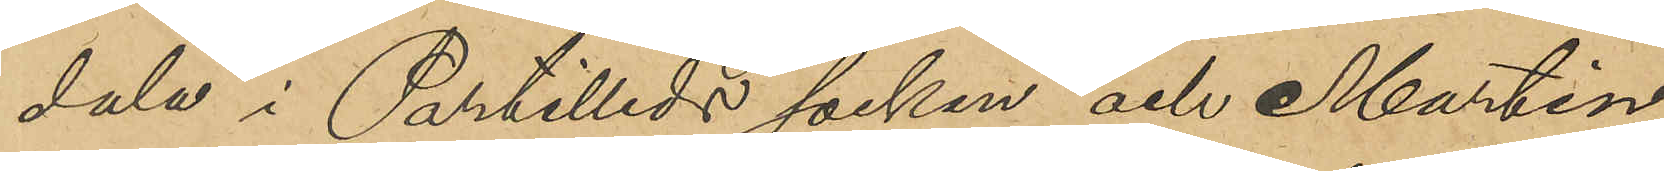dala i Partilleds socken och Martin
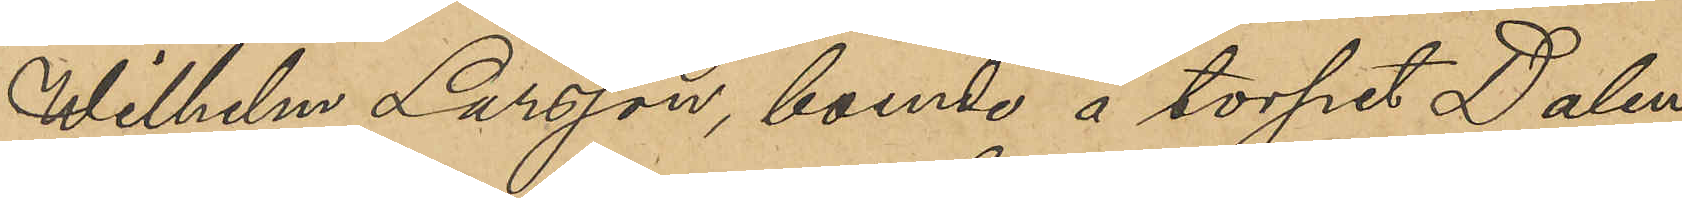Wilhelm Larsson, boende å torpet Dalen
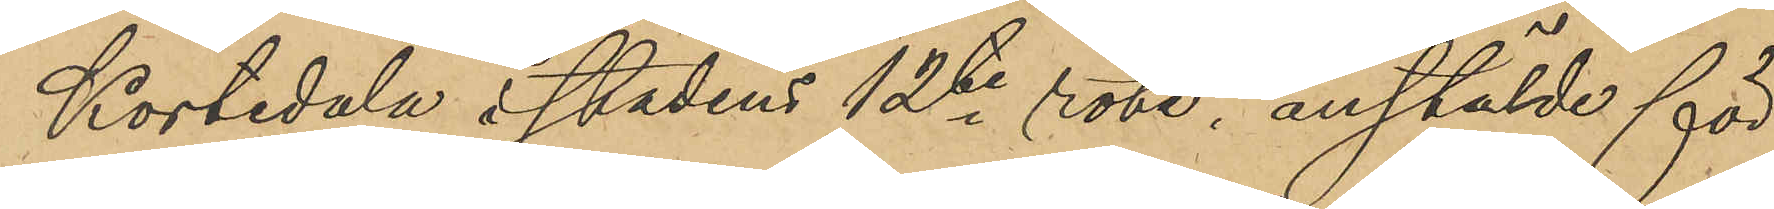Kortedala i stadens 12te rote, anstälde för¬
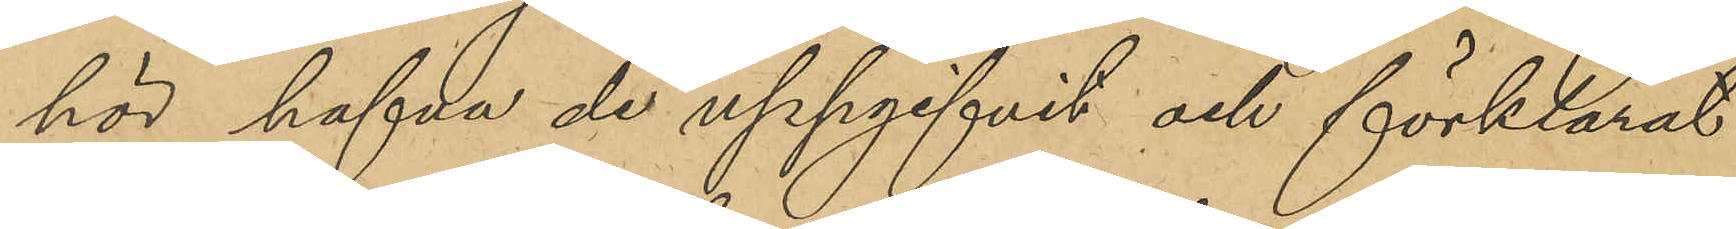hör hafva de uppgifvit och förklarat:
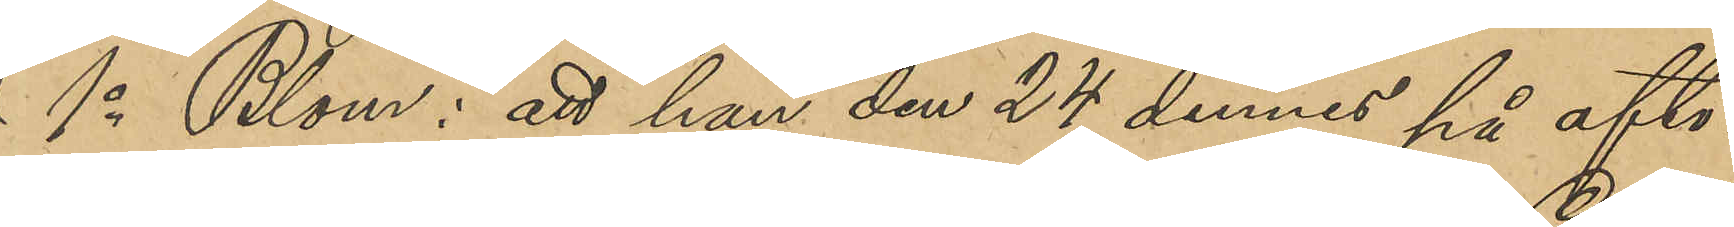1 o Blom: att han den 24 dennes på afto¬
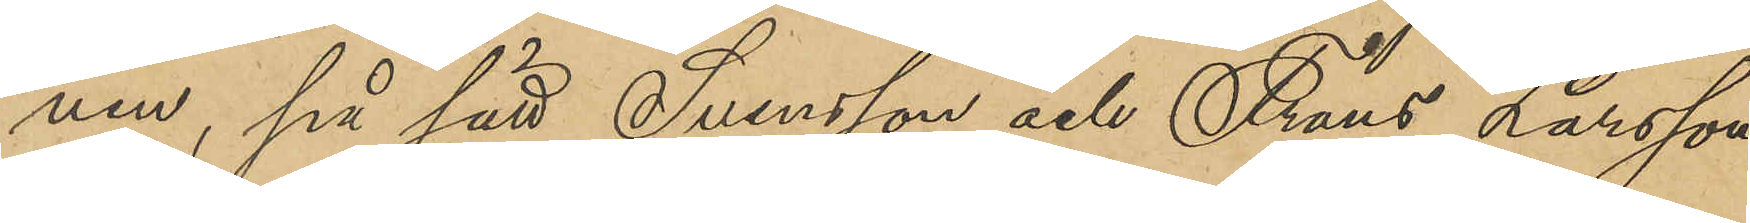nen, på sätt Svensson och Frans Larsson
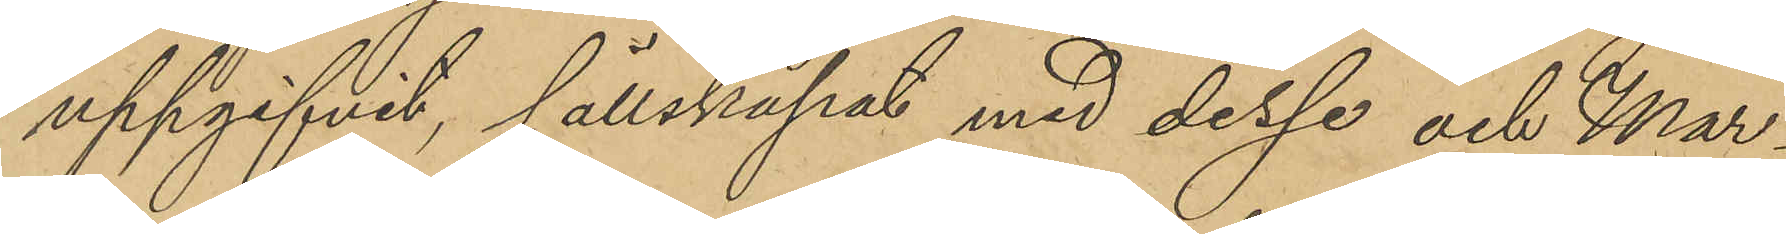uppgifvit, sällskapat med dessa och Mar¬
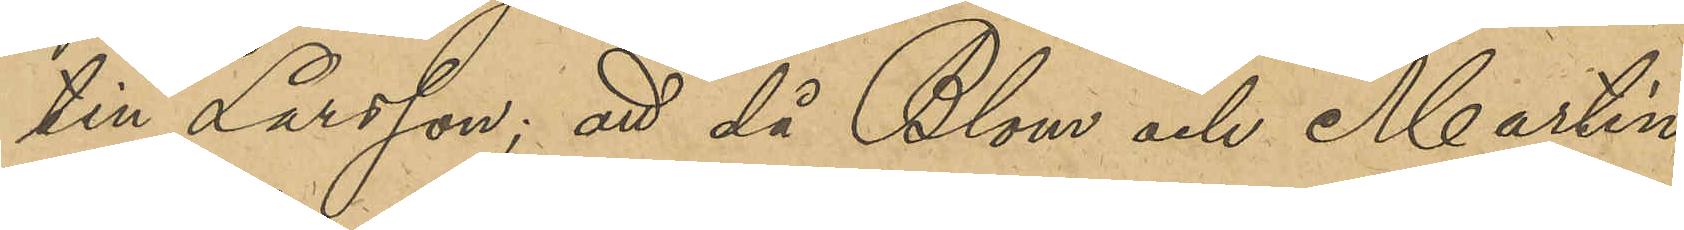tin Larsson; att då Blom och Martin 
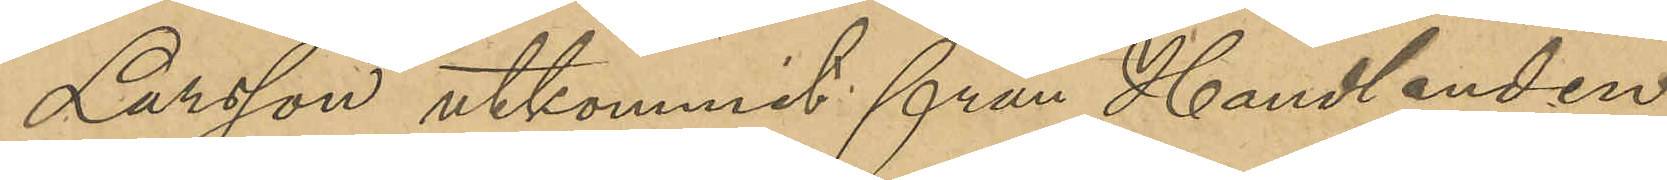Larsson utkommit från Handlanden
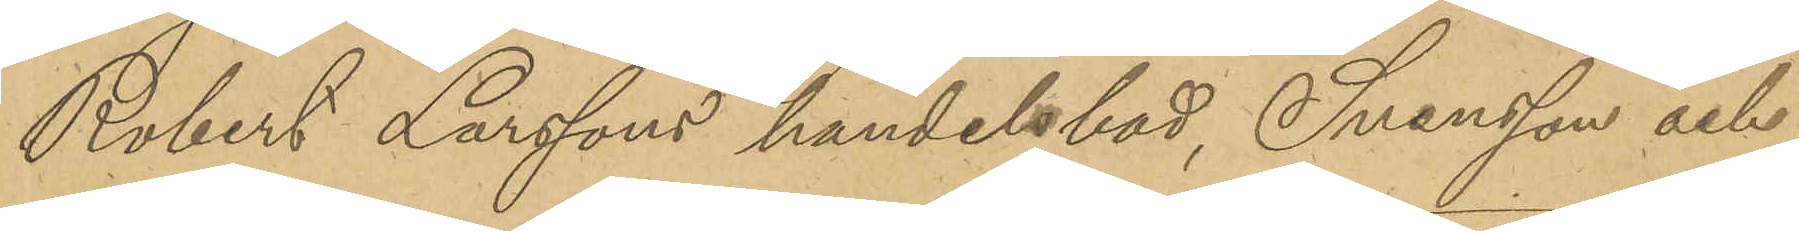Robert Larssons handelsbod, Svensson och
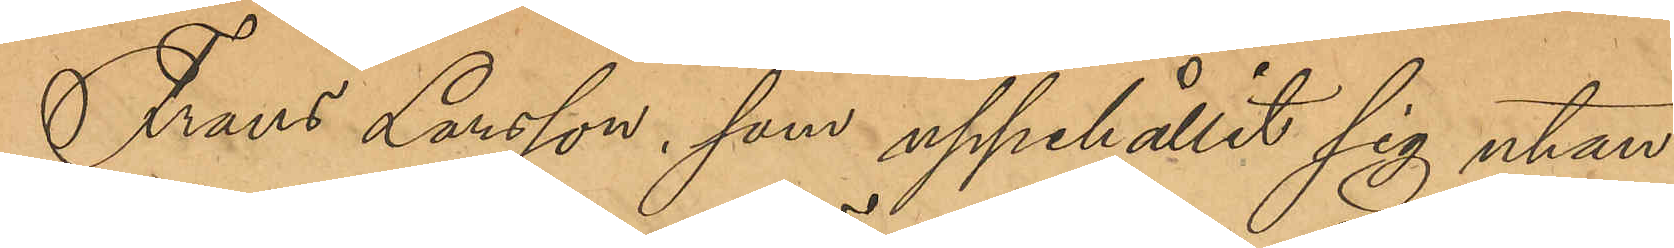Frans Larsson, som uppehållit sig utan¬
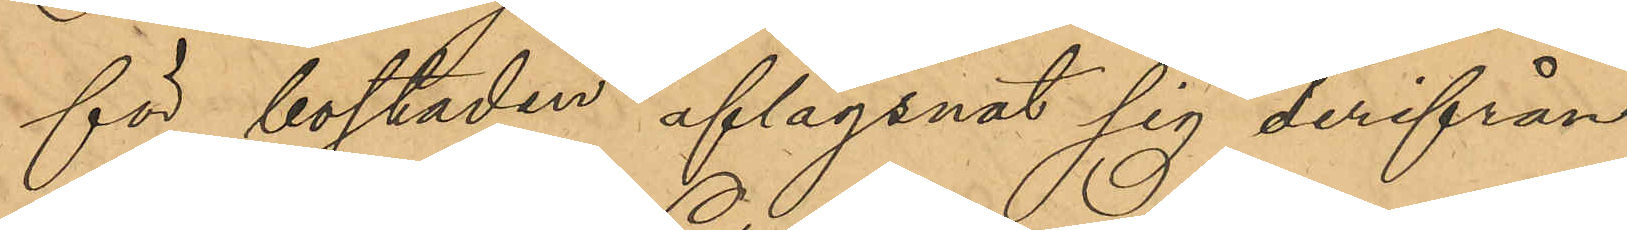för bostaden aflägsnat sig derifrån;
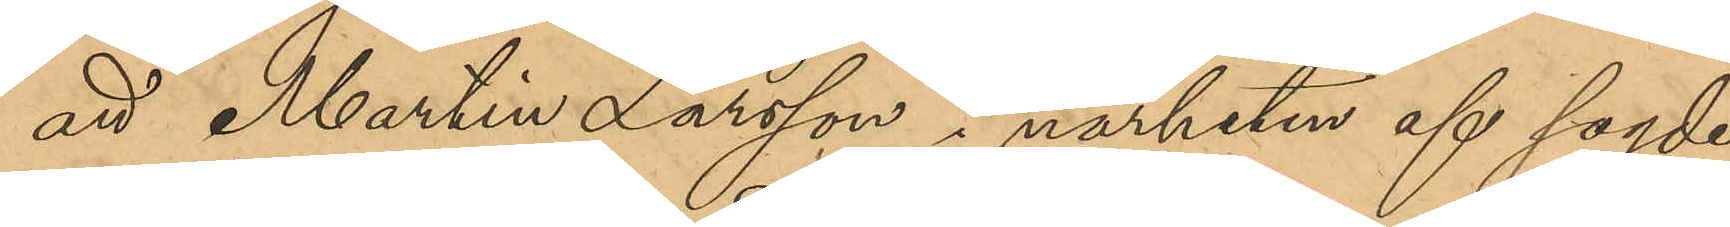att Martin Larsson i närheten af sagde
